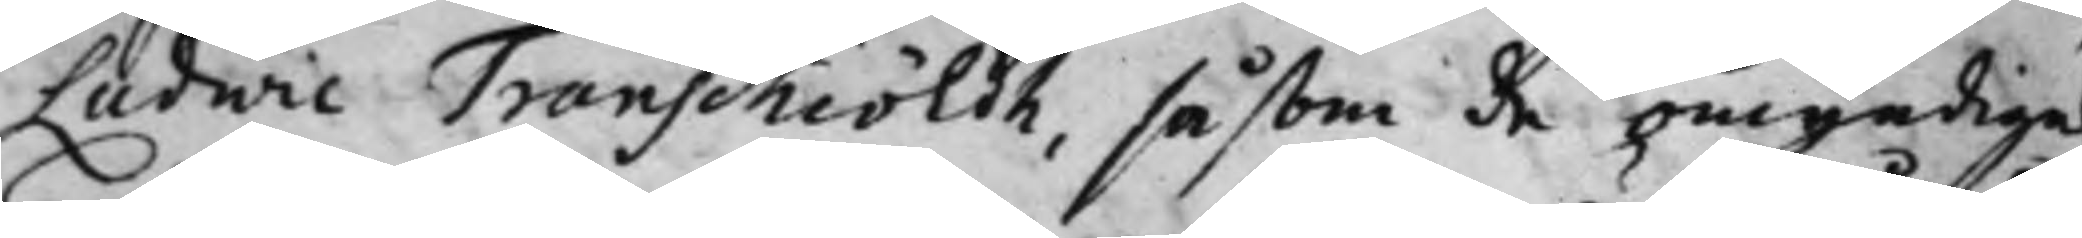Ludwic Transchiöldh, såsom de omyndigas
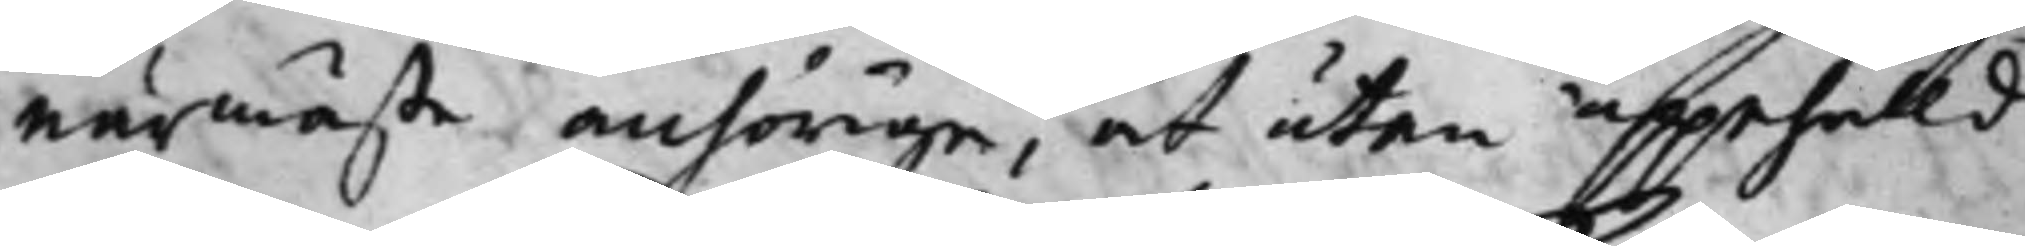närmaste anhörige, oct utan uppehålld
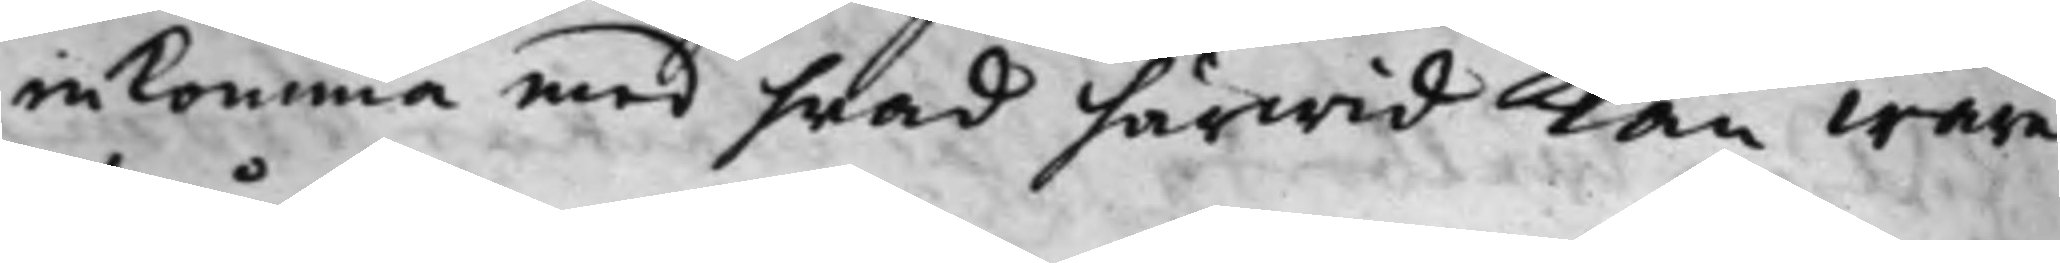inkomma med hwad härwid kan ware
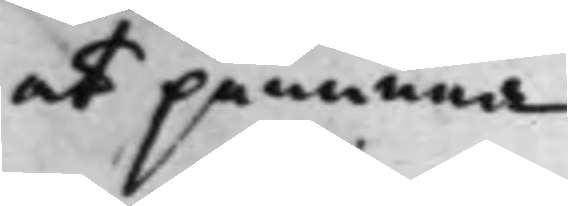at påminna.
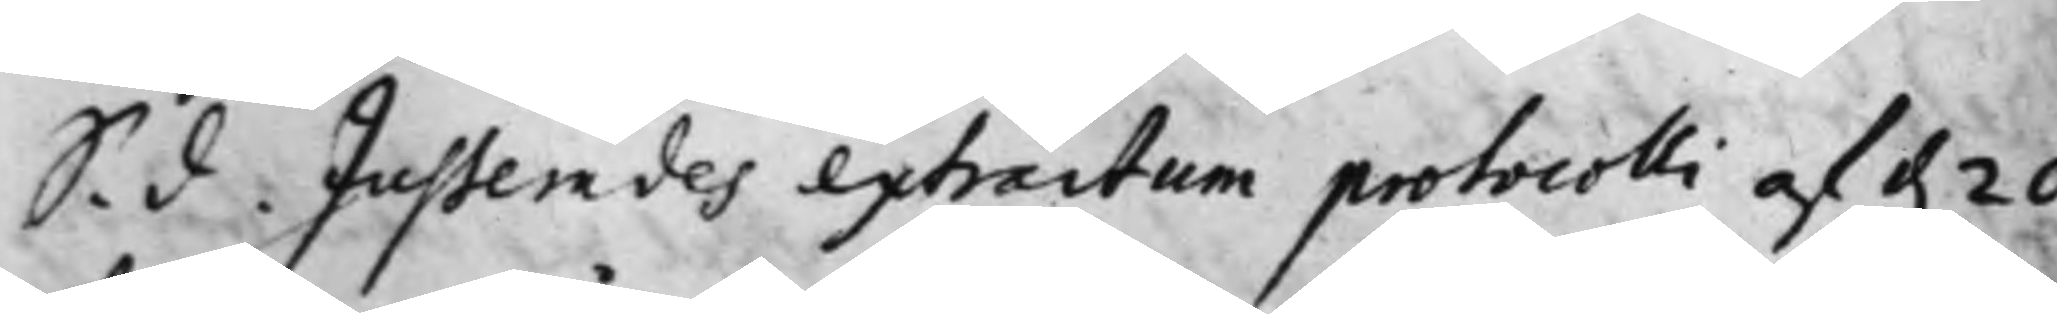S. d. Justerades extractum protocolli af d. 20 
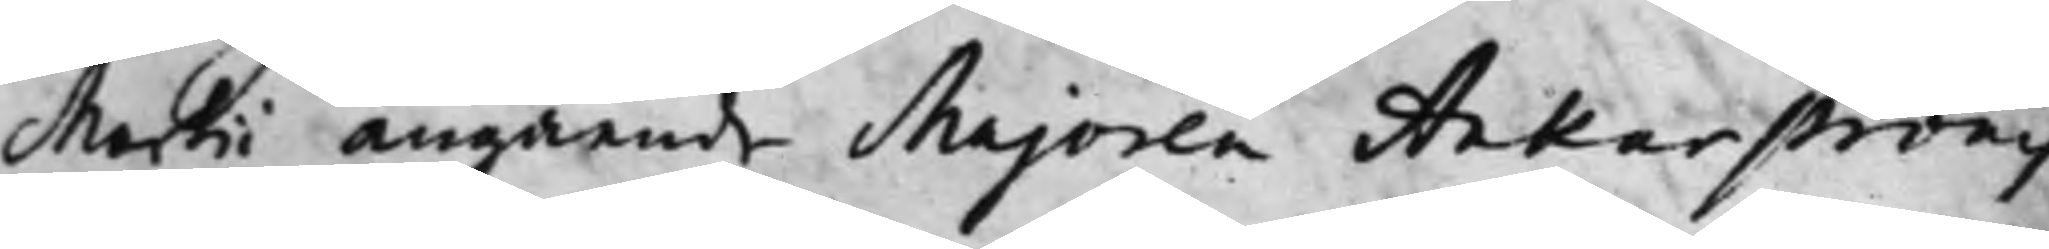Martii angående Majoren Ankarströms
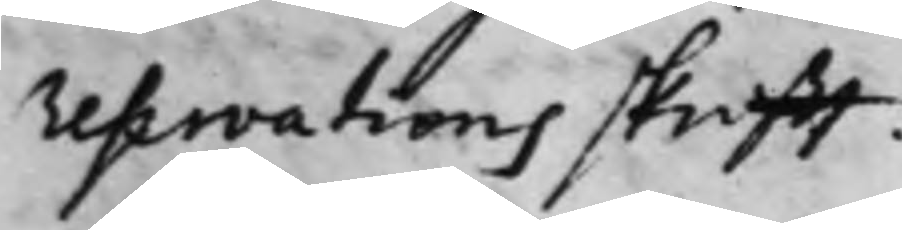reservationsskrifft.
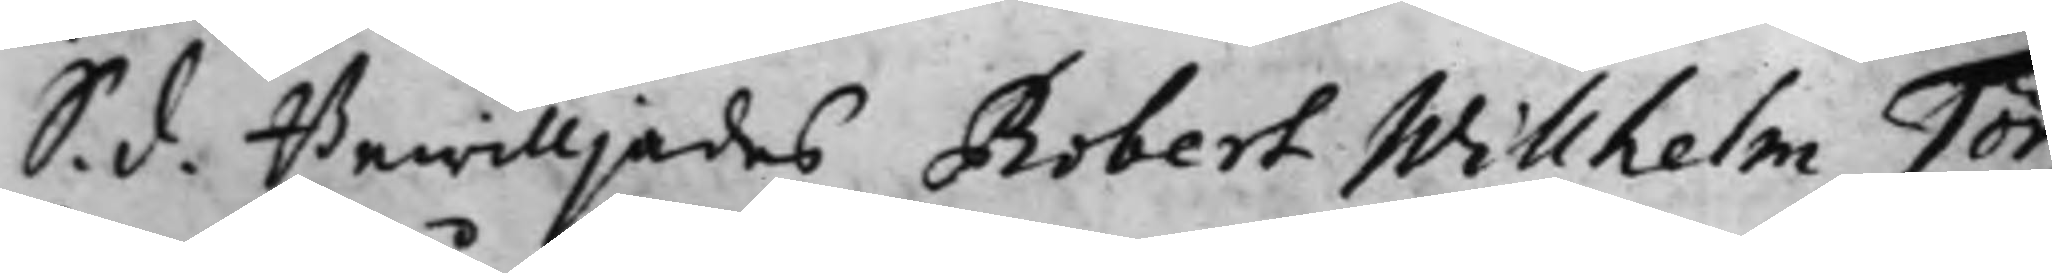S. d. Bewilljades Robert Willhelm Tör¬ 
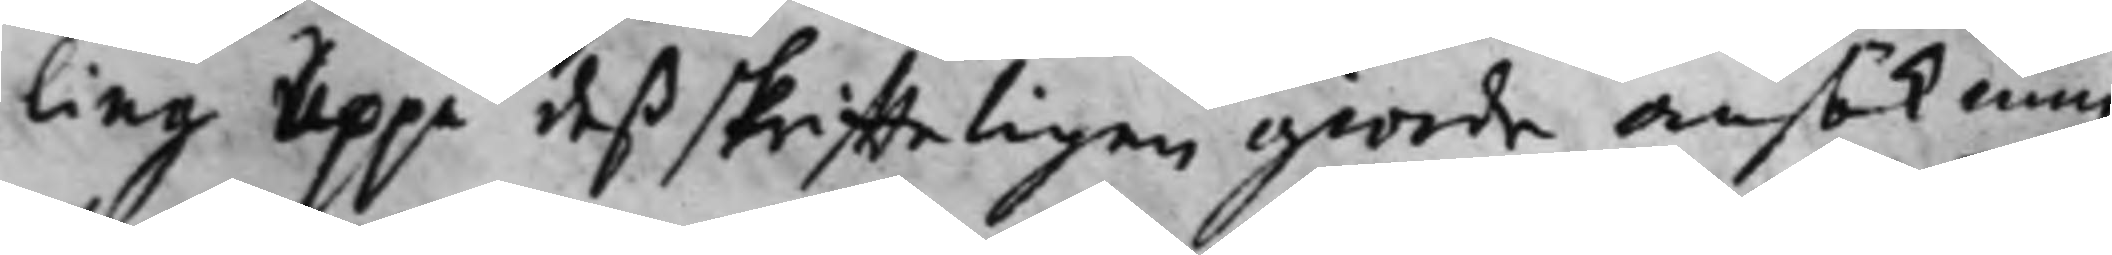ling uppå deß skriffteligen giorde ansökning
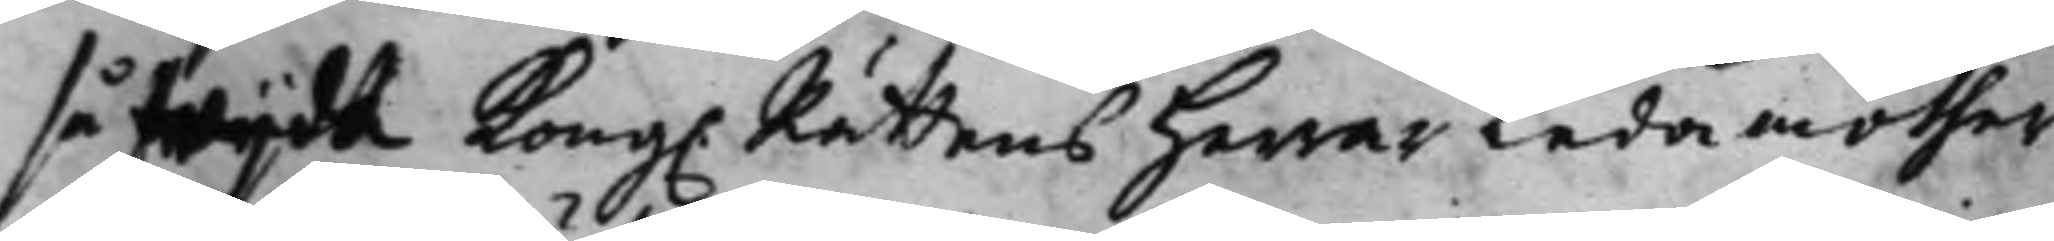så wijdh Kong. Rättens Herrar Ledamöther 
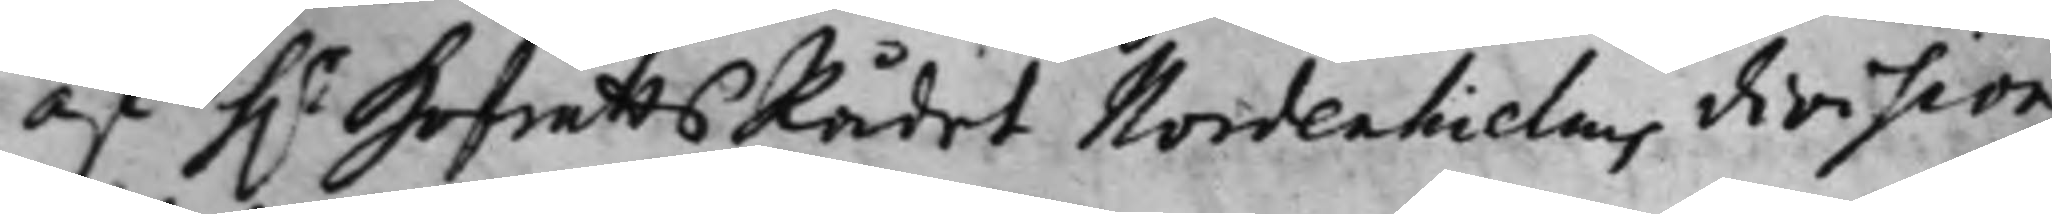af h.r HofrättsRådet Nordenhielms division 
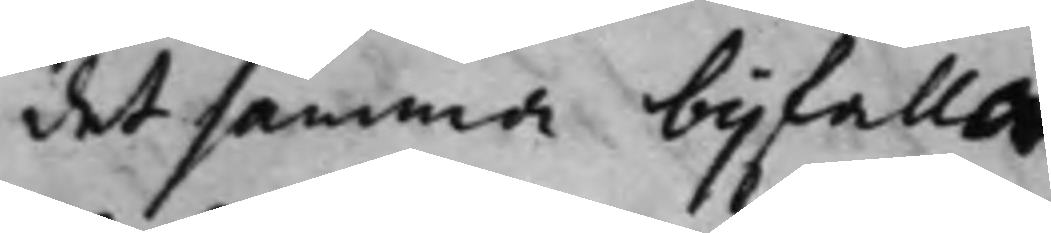det samma bijfaller.
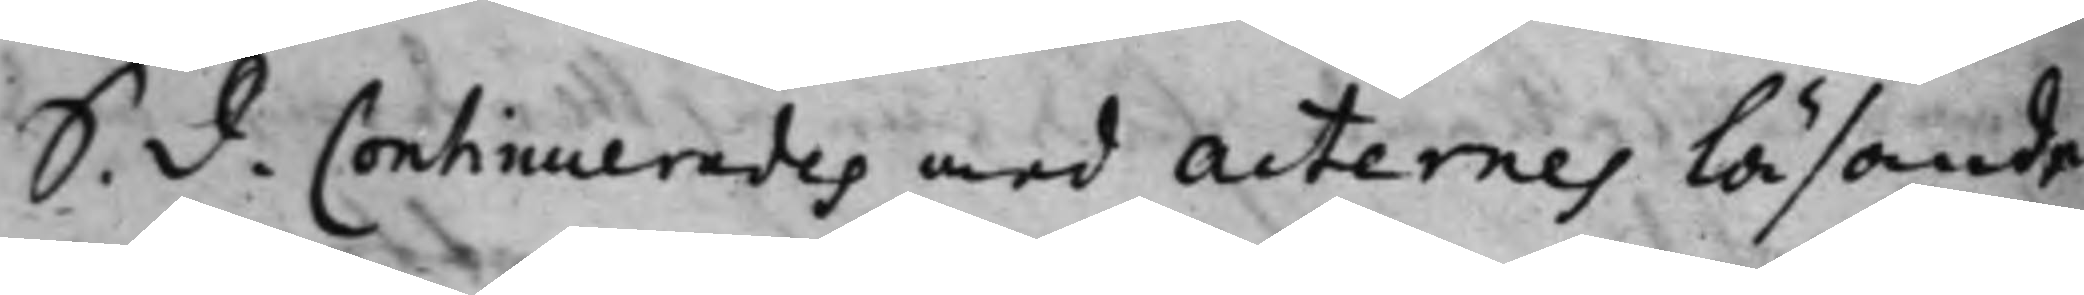S. d. Continuerades med Acternes läsande 
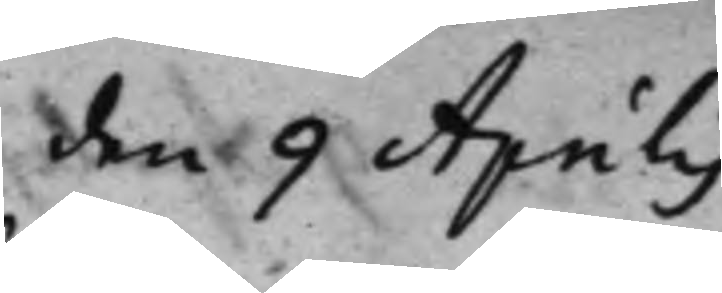den 9 Aprilis
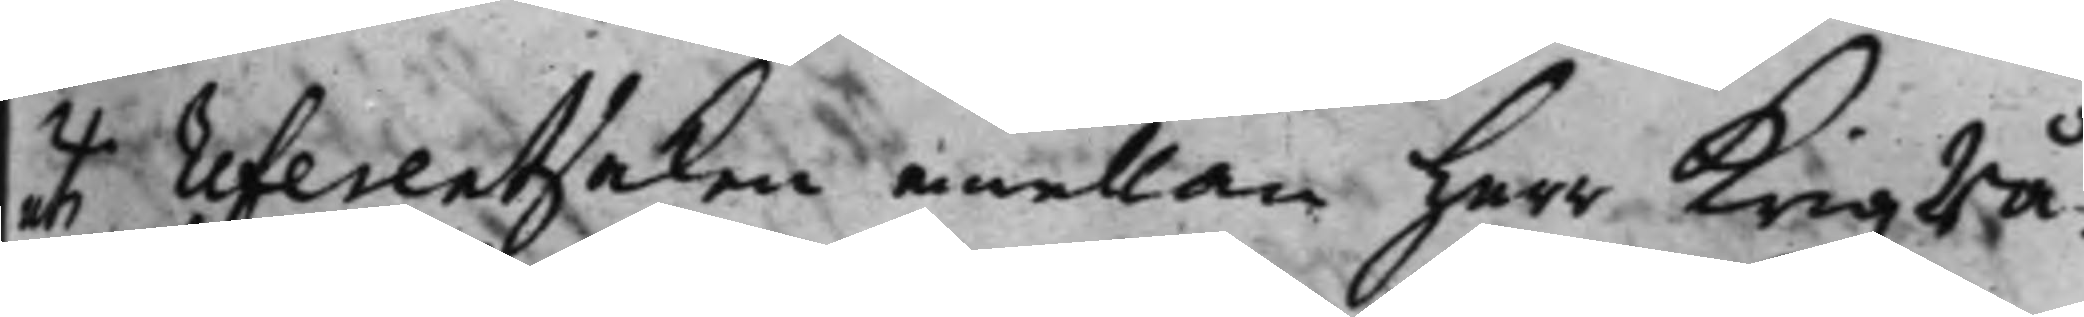uti referentsaken emellan Herr Krigzrå¬
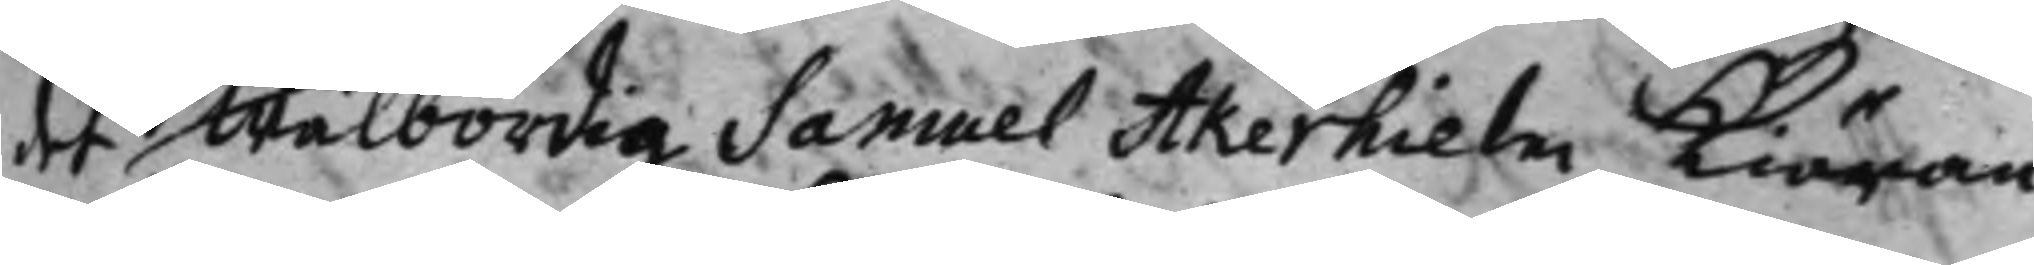det Wälbördig Samuel Åkerhielm Kiäran¬
